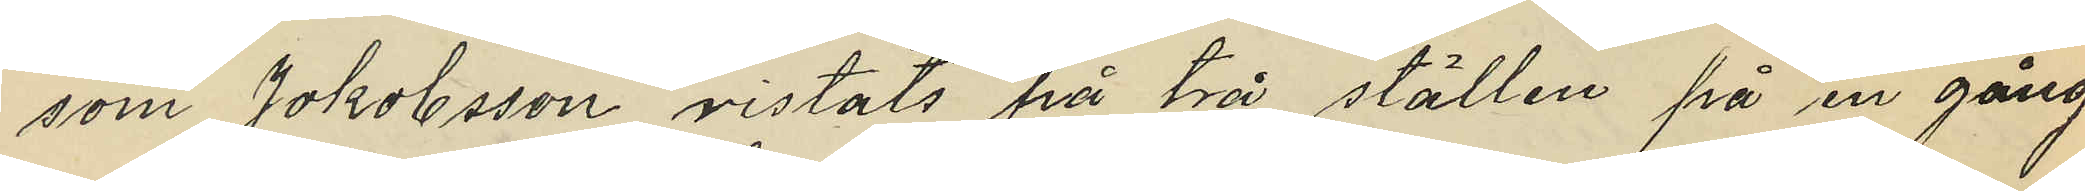som Jakobsson vistats på två ställen på en gång,
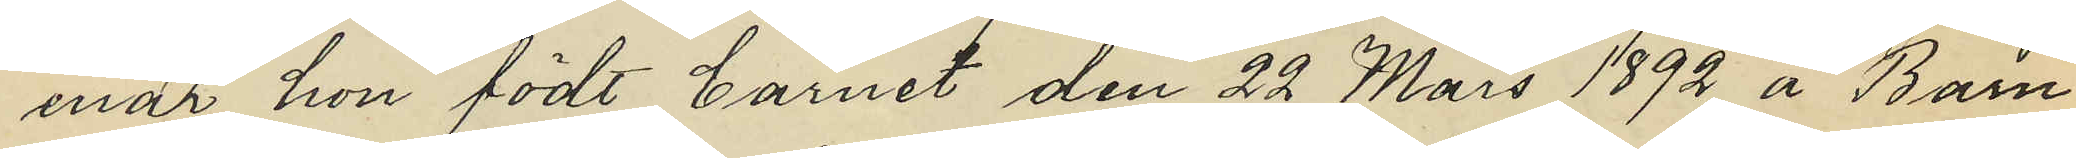enär hon födt barnet den 22 Mars 1892 å Barn¬
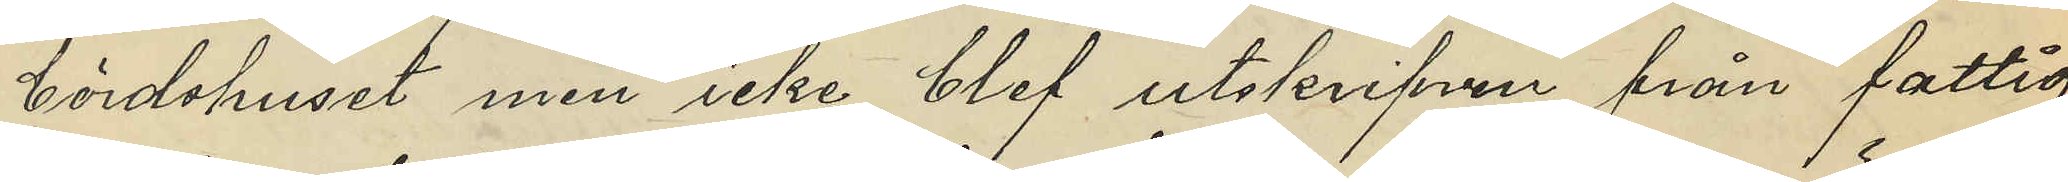bördshuset men icke blef utskrifven från fattig¬
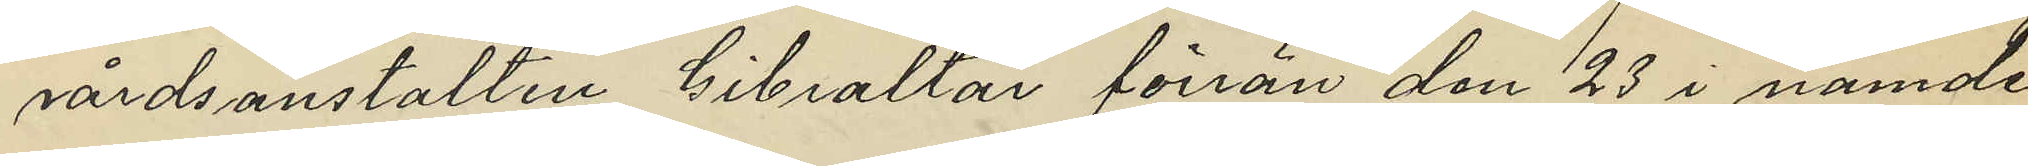vårdsanstalten Gibraltar förrän den 23 i nämnde
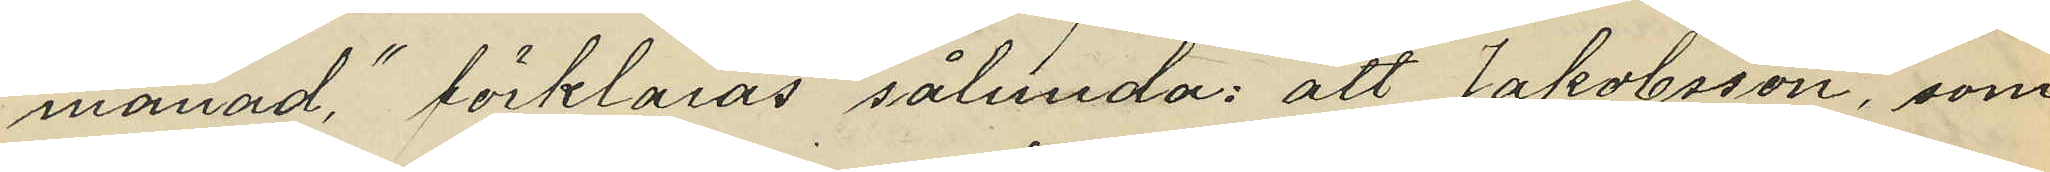månad", förklaras sålunda: att Jakobsson, som
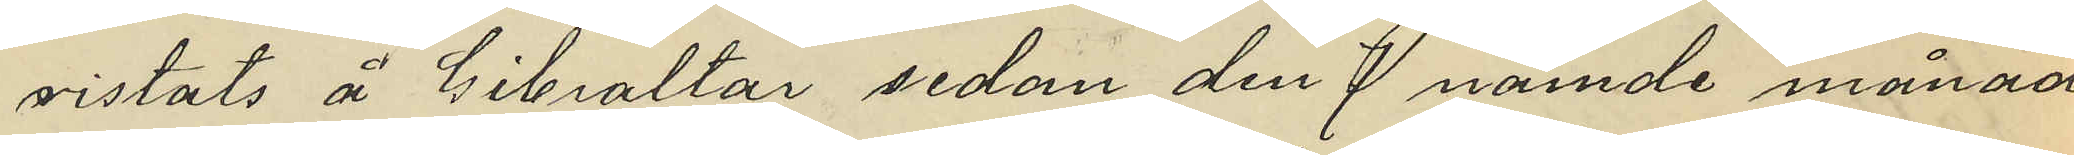vistats å Gibraltar sedan den 7 nämnde månad,
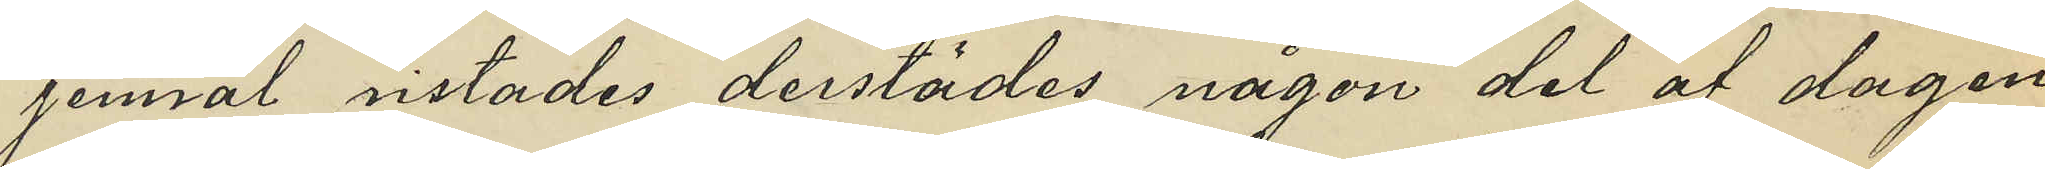jemväl vistades derstädes någon del af dagen,
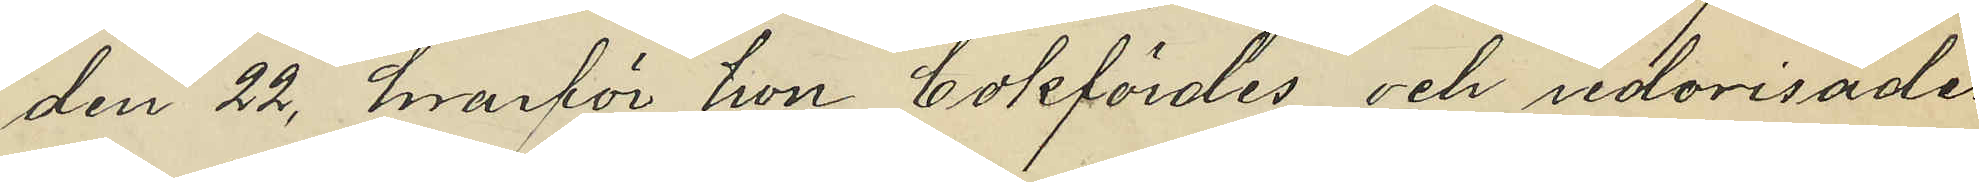den 22, hvarför hon bokfördes och redovisades
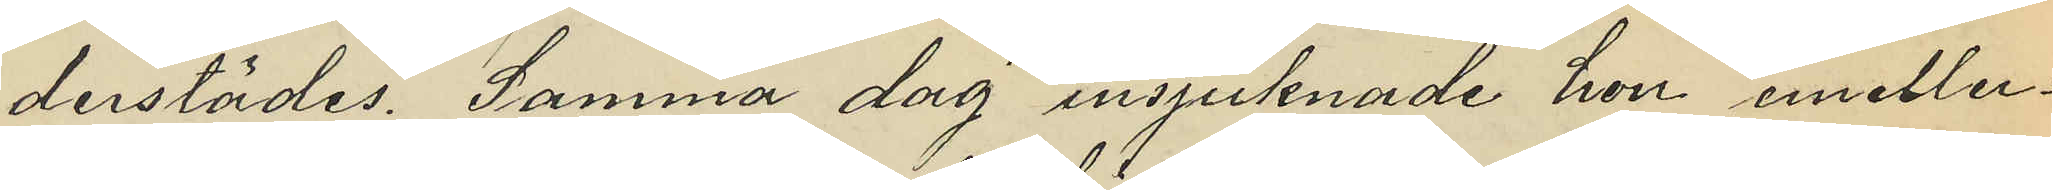derstädes. Samma dag insjuknade hon emeller¬
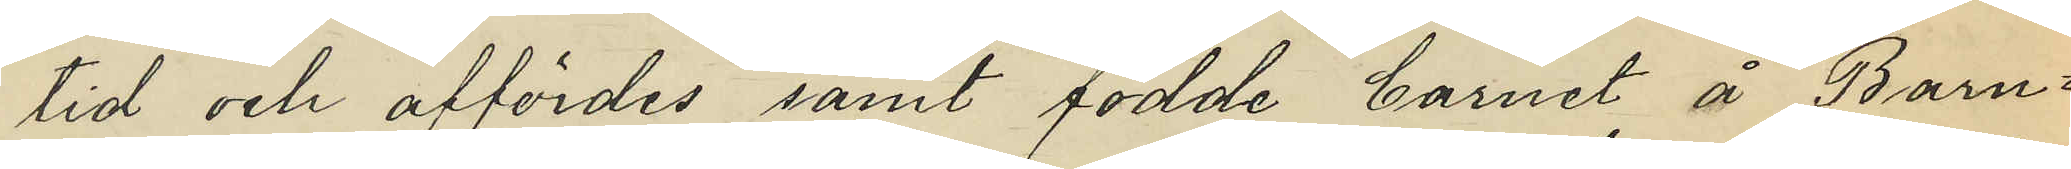tid och affördes samt födde barnet å Barn¬
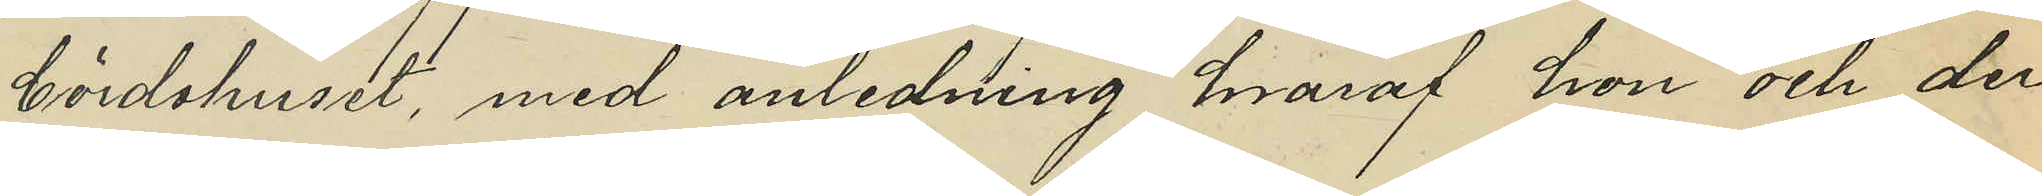bördshuset, med anledning hvaraf hon och der
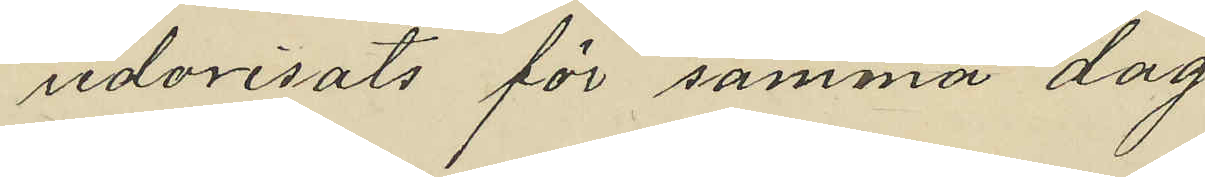redovisats för samma dag.
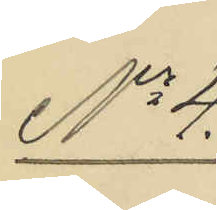No 4.
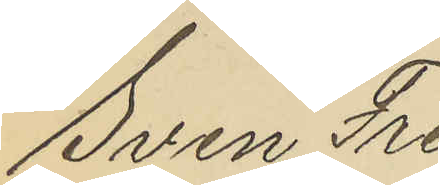Sven Fre¬
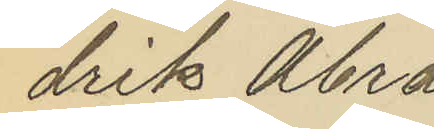drik Abra¬
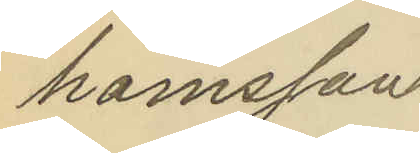hamsson.
